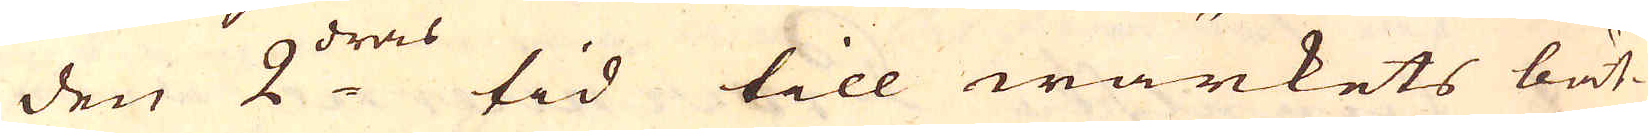den 2:dras tid till wärkets bät-
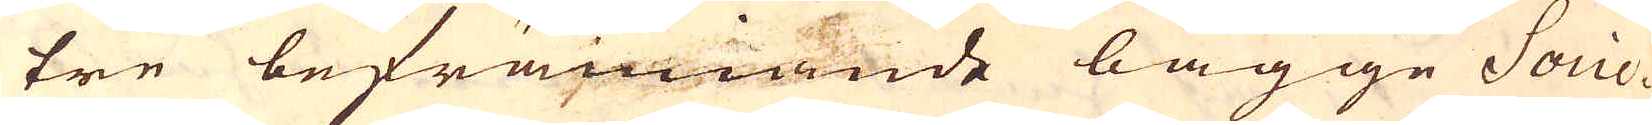tre befrämiande bägge Socie-
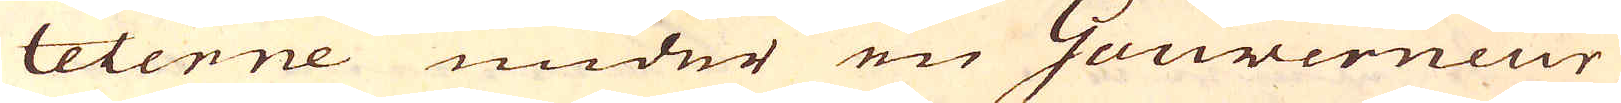teterne under en Gouverneur
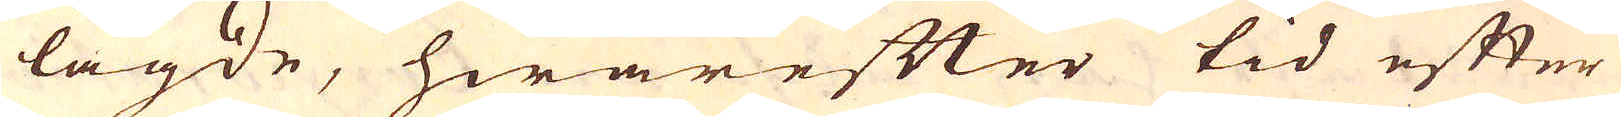lagde, hwarefter tid efter
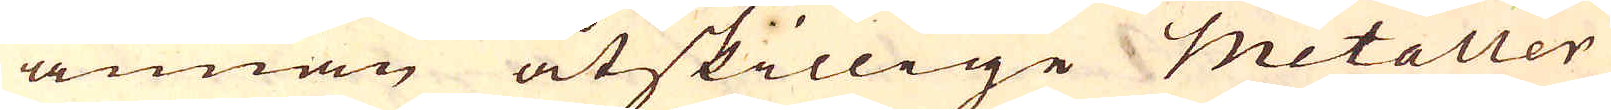annan åtskillige Metaller
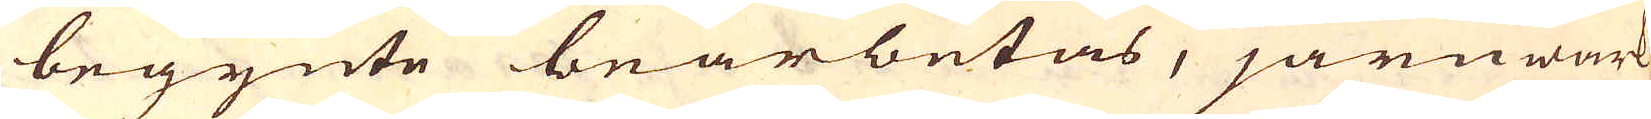begynte bearbetas, järnwärk
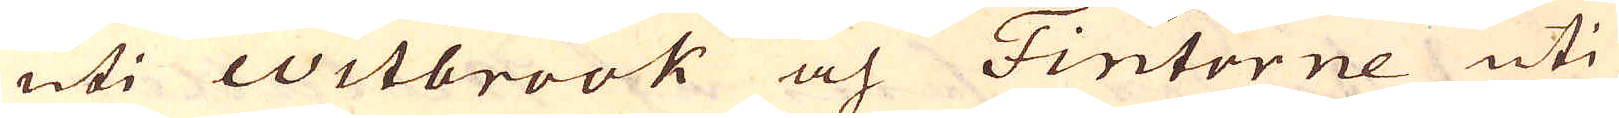uti Witbrook och Fintorne uti
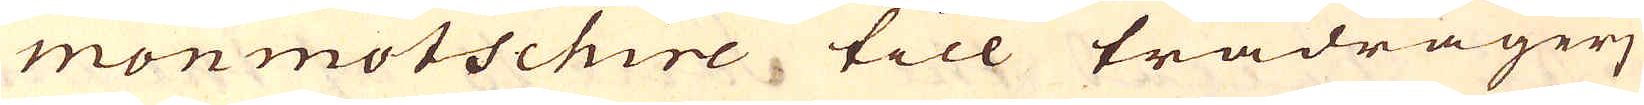Monmotschire till trådragerj
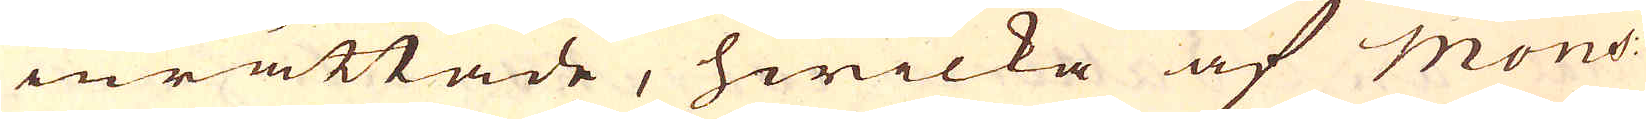inrättade, hwilka af Mons:
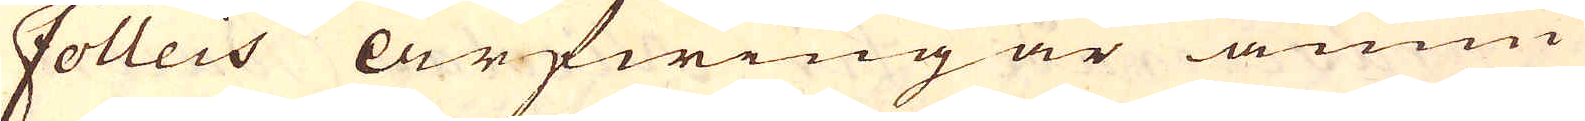Folleis arfwingar ännu
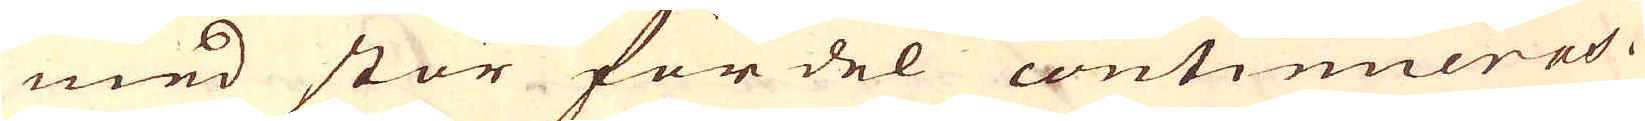med stor fördel continueras.
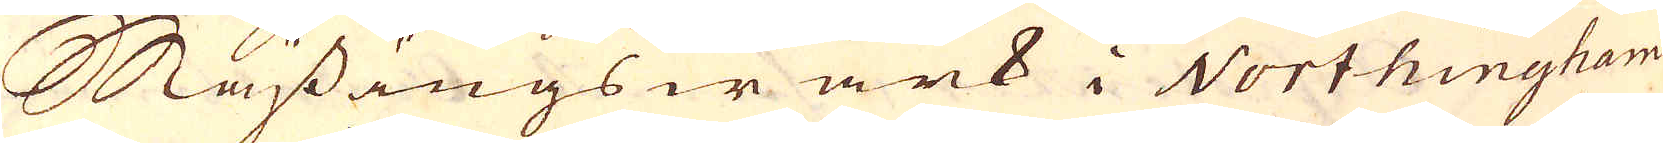Mässingswärk i Northingham-
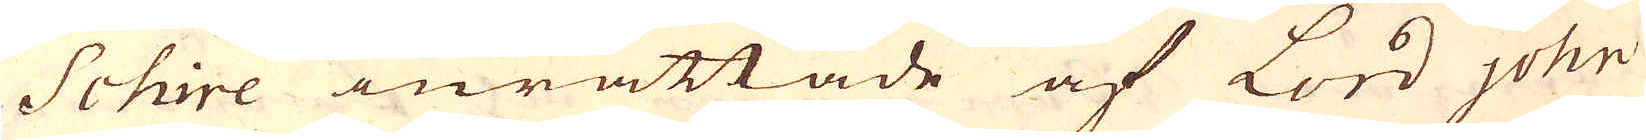schire inrättade af Lord John
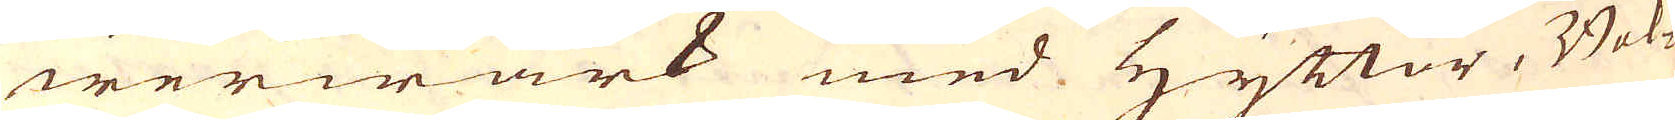werwärk med Hyttor, Bok-
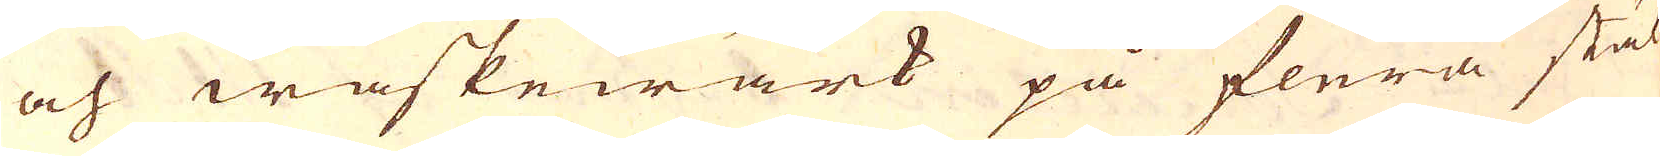och waskewärk på flera stäl-
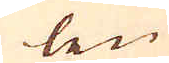len
